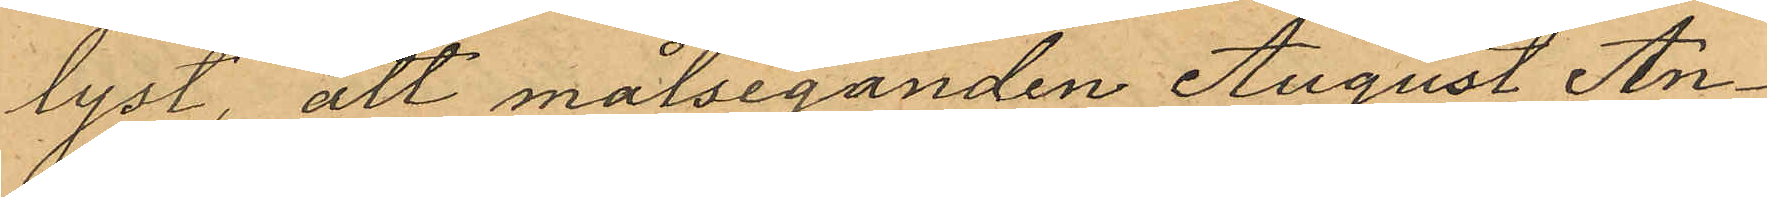lyst, att målseganden August An¬
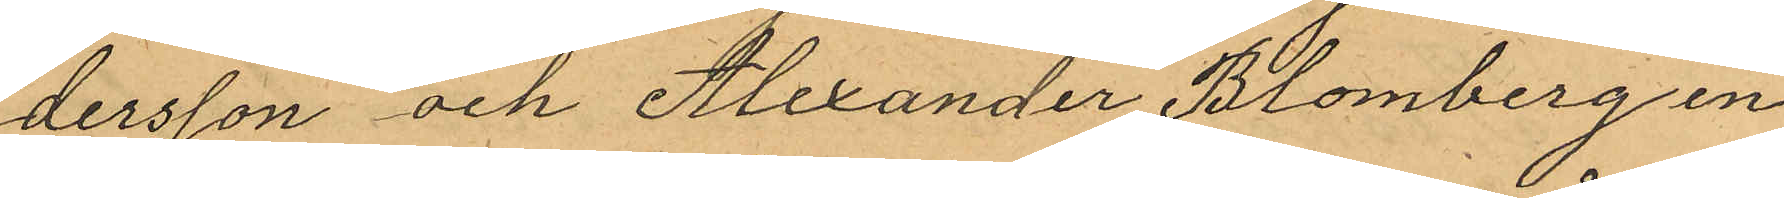dersson och Alexander Blomberg en
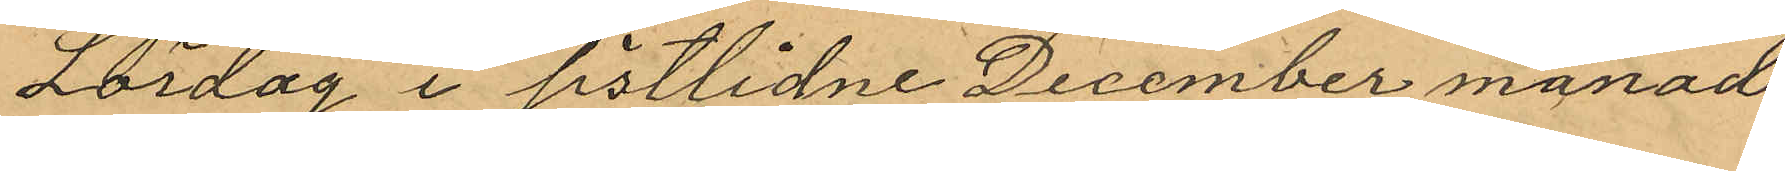Lördag i sistlidne December månad
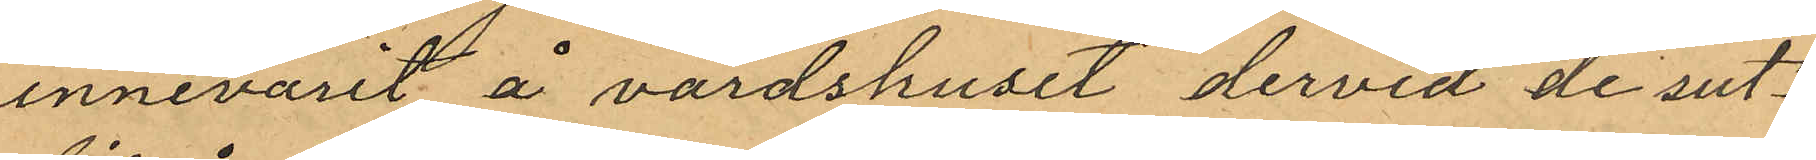innevarit å värdshuset dervid de sut¬
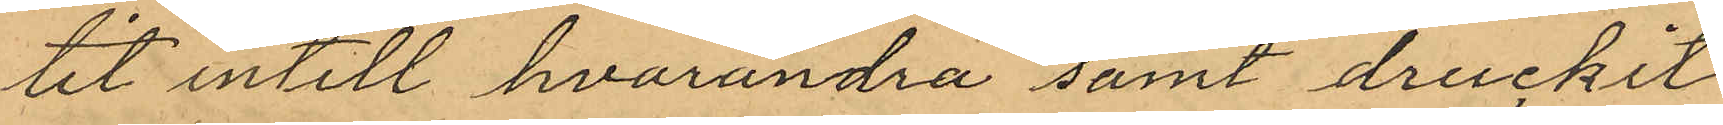tit intill hvarandra samt druckit
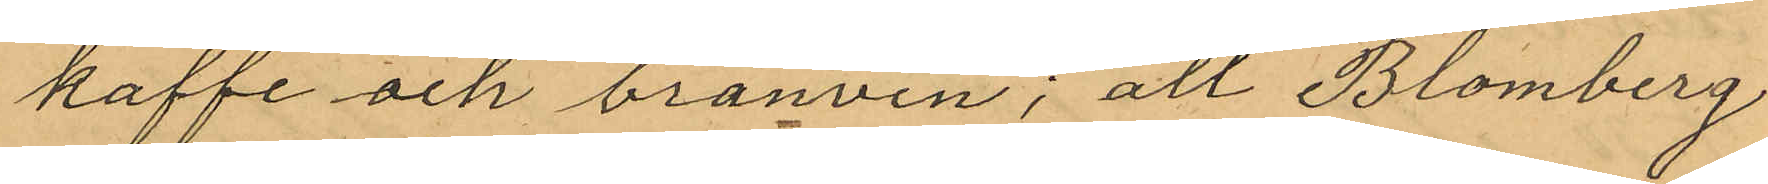kaffe och bränvin; att Blomberg
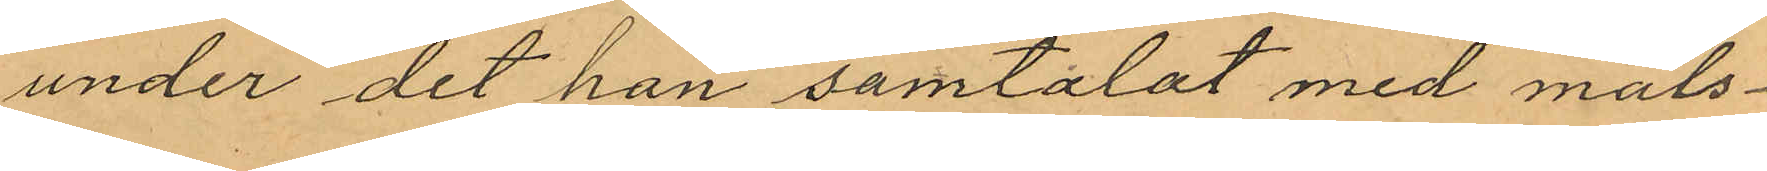under det han samtalat med måls¬
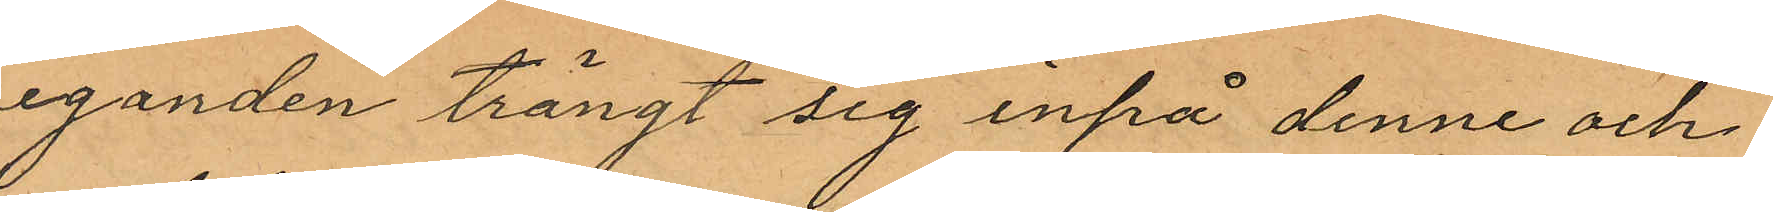eganden trängt sig inpå denne och
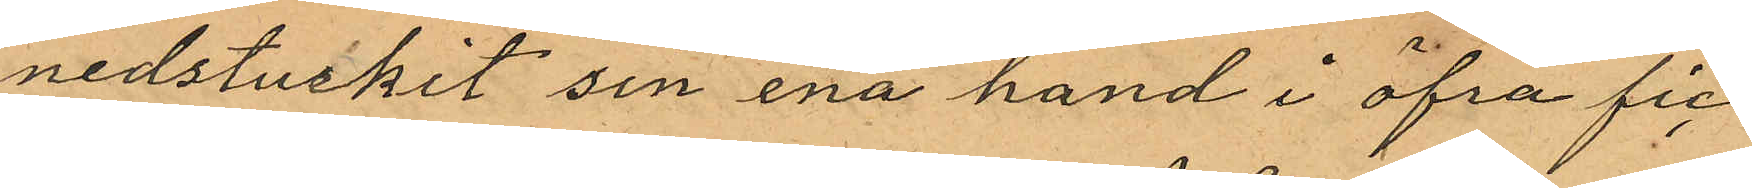nedstuikit sin ena hand i öfra fic¬
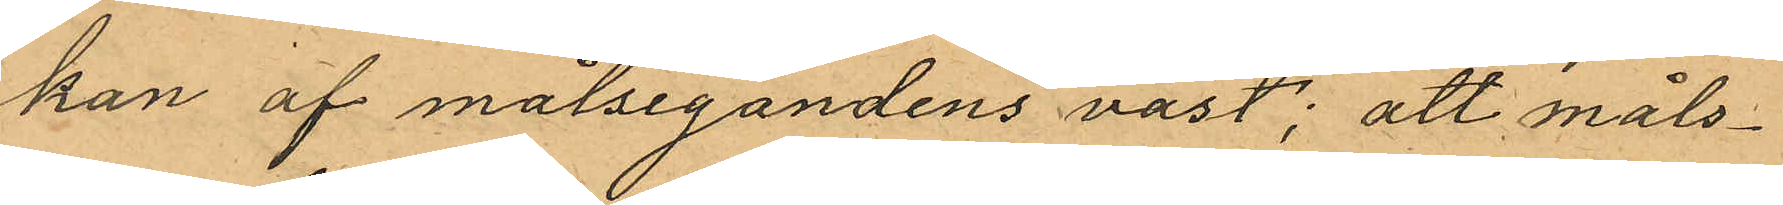kan af målsegandens väst; att måls¬
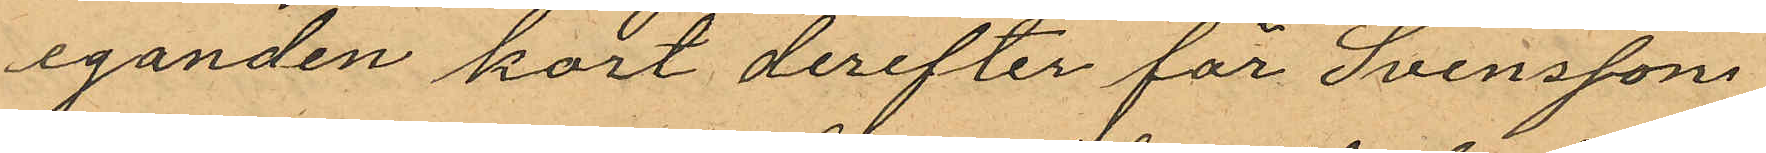eganden kort derefter för Svensson
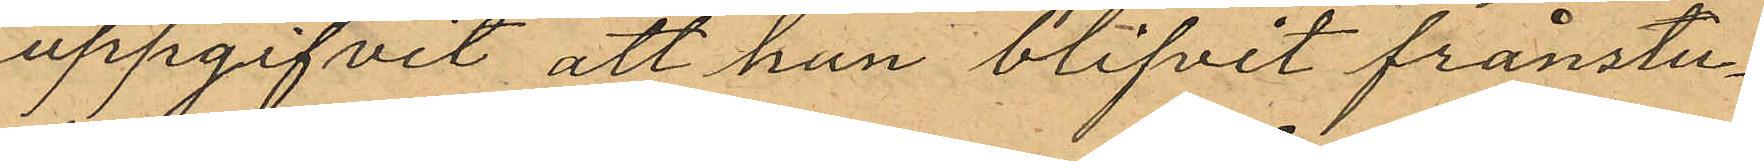uppgifvit att han blifvit frånstu¬
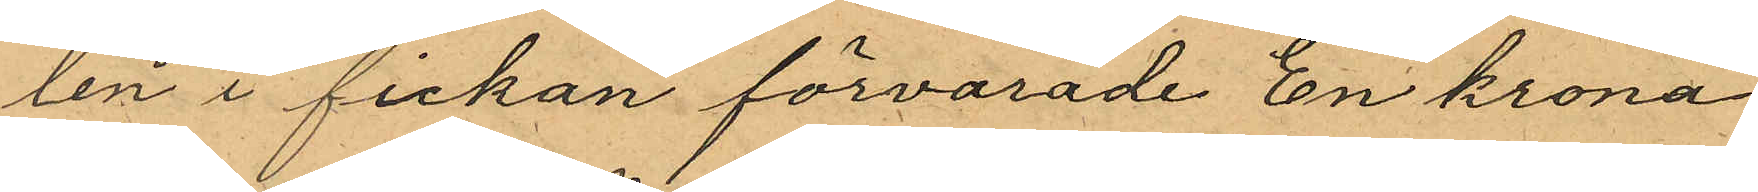len i fickan förvarade En krona
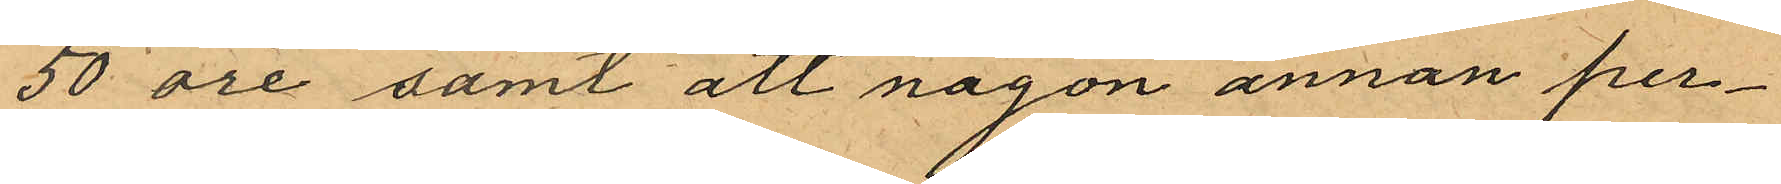50 öre samt att någon annan per¬
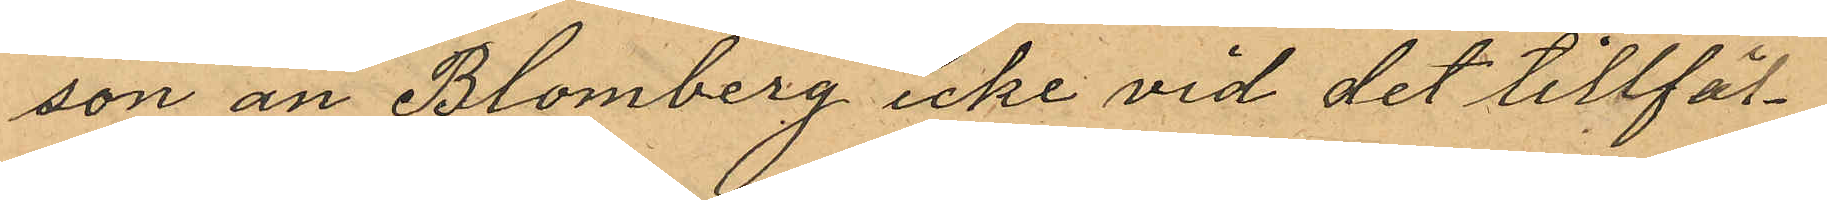son än Blomberg icke vid det tillfäl¬
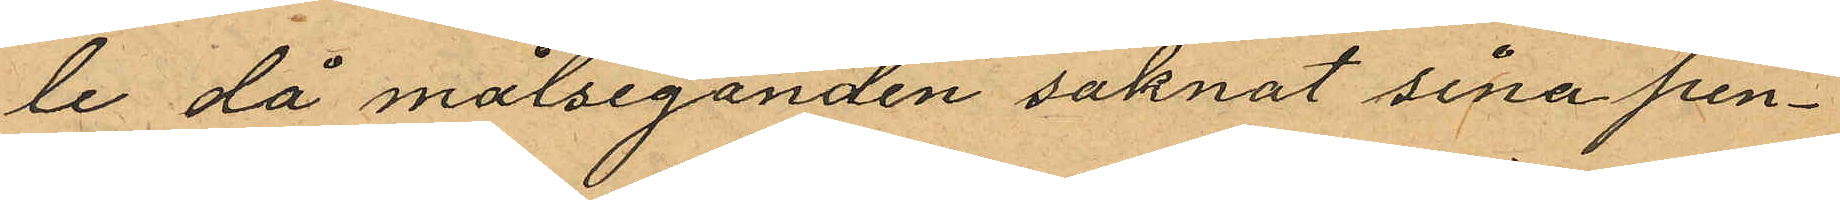le då målseganden saknat sina pen¬
